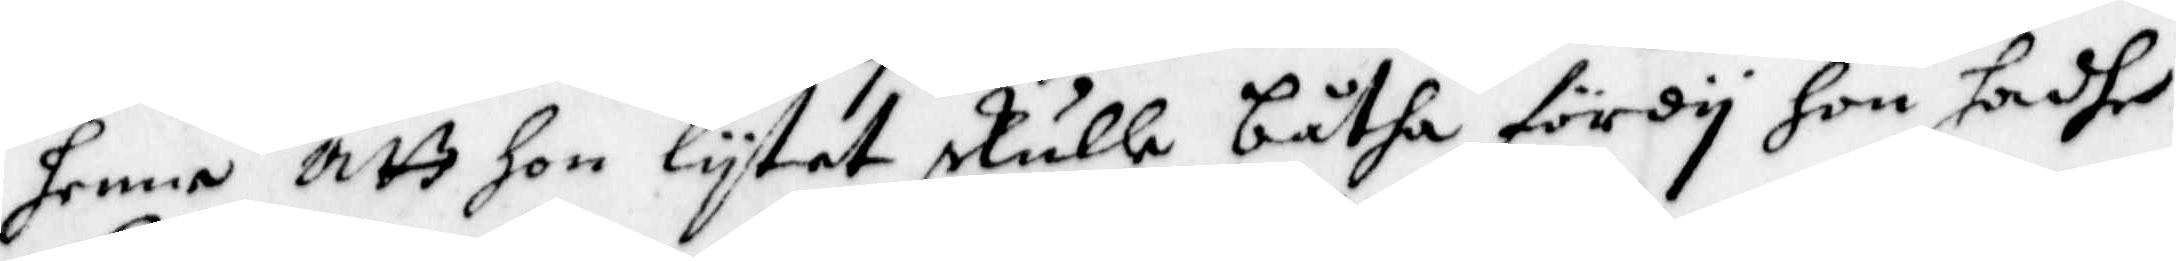henne att hon lytet skulle båtha fördy hon hadhe
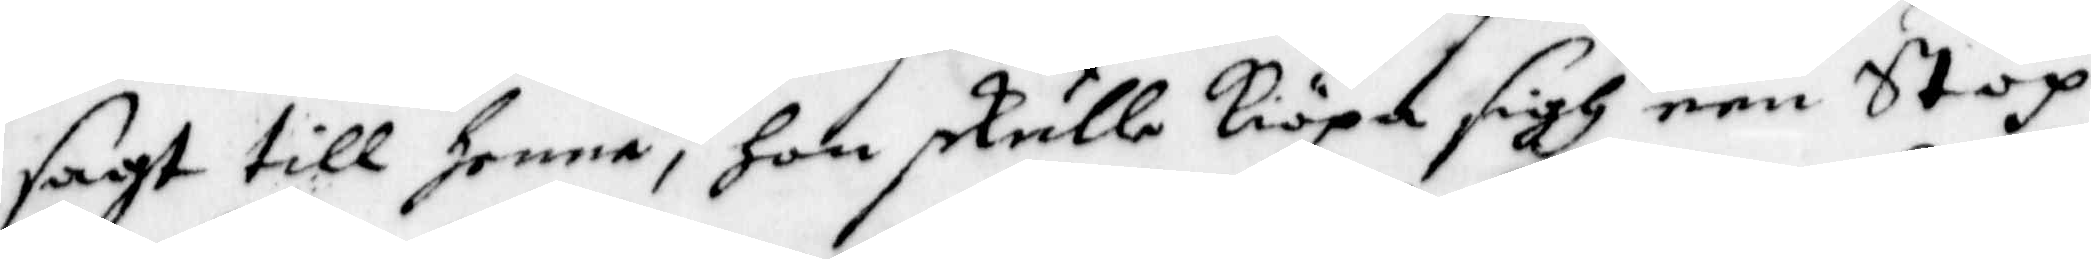sagt till Henne, Hon skulle Kiöpa sigh een Stop
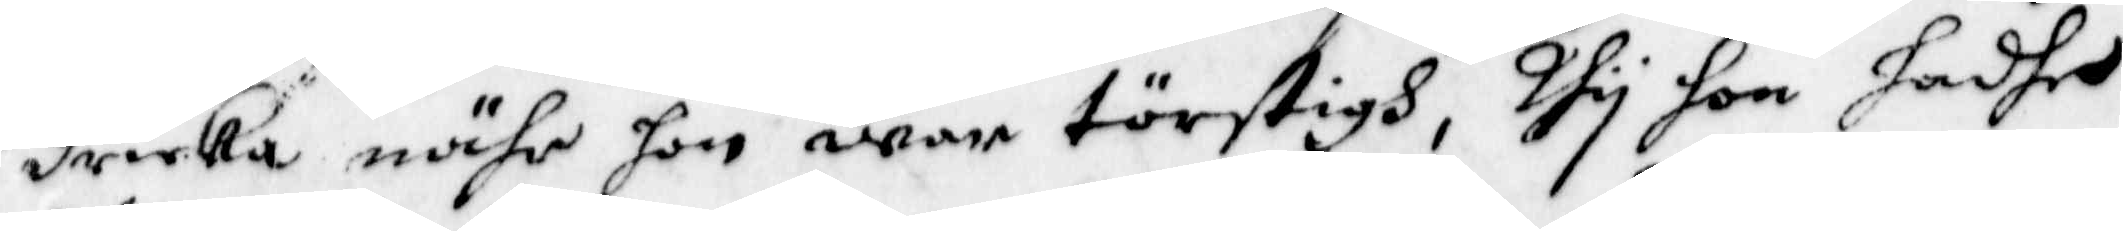dricka nähr hon war törstigh, ty hon hadhe
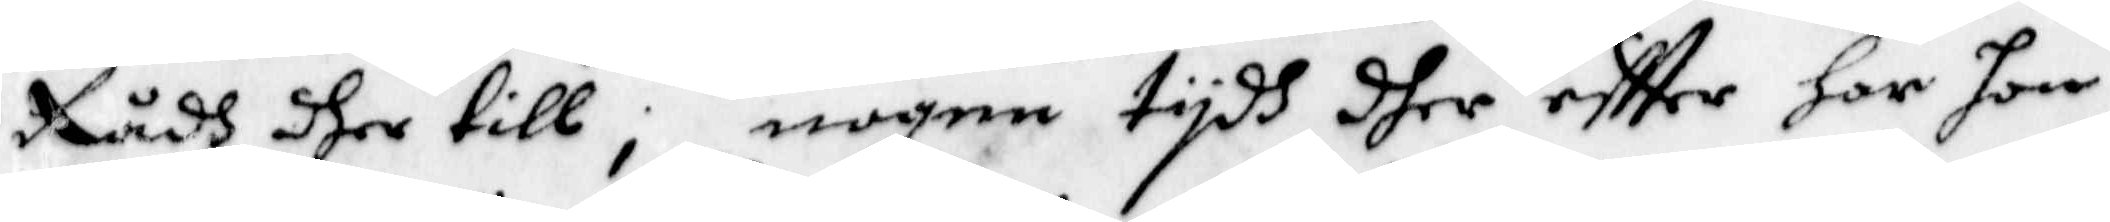Rådh dher till, nogen tydh dher eftter har hon
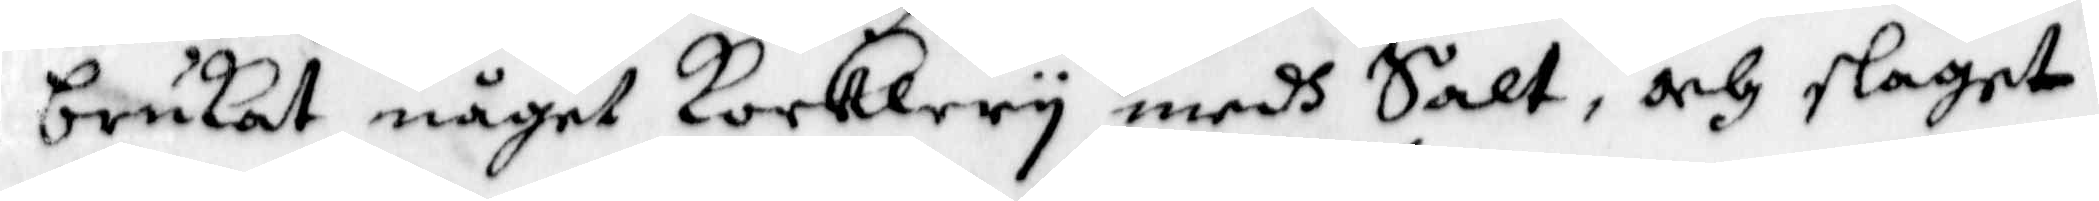brukat något Kocklery medh Salt, och slaget
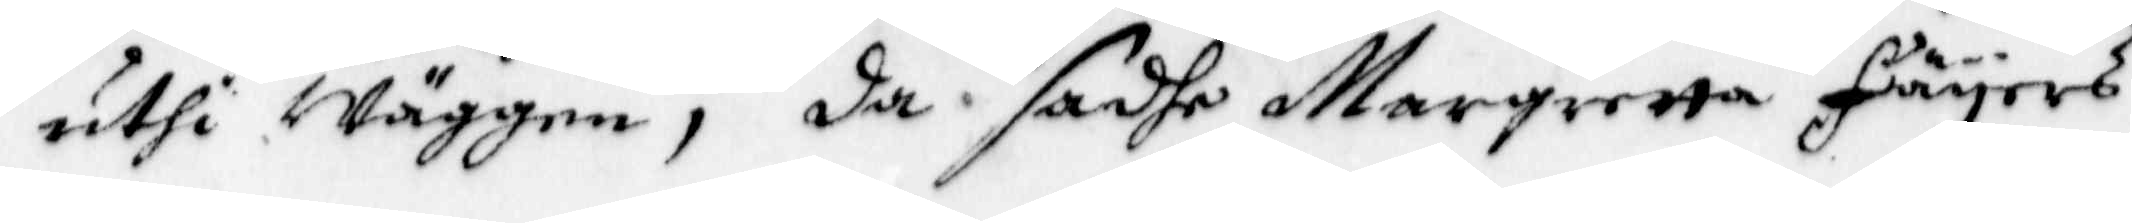uthi wäggen, da sadhe Margaretta Fäyers
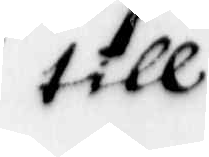till
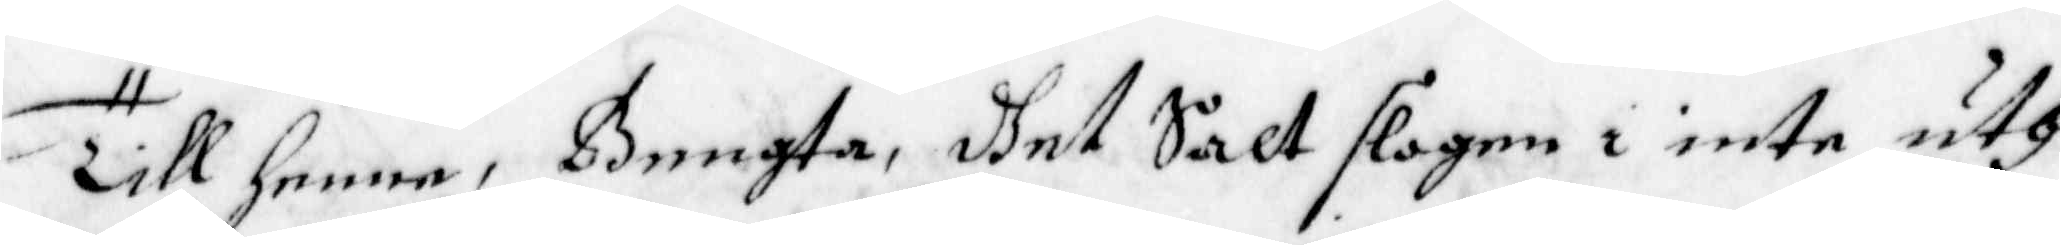Till henne, Bengta, dhet Salt slogen i inte uth
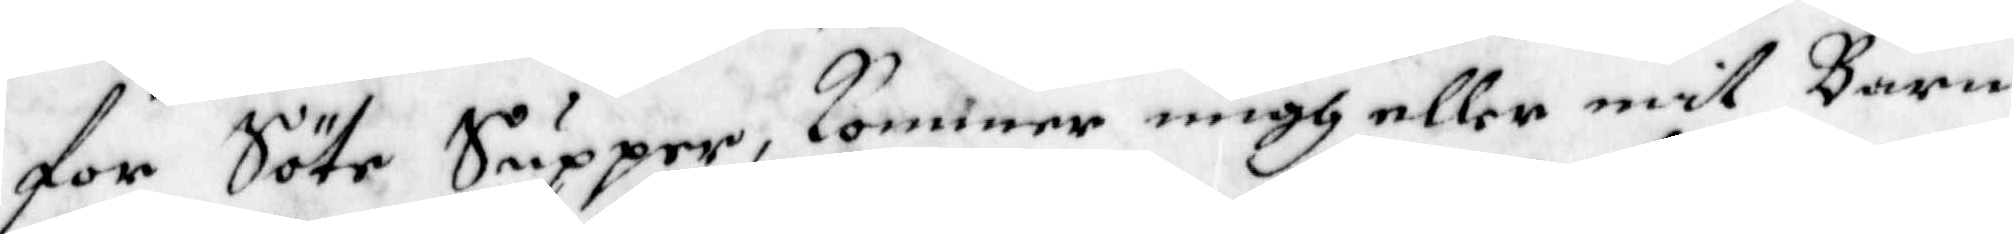för Söte Supper, kommer migh eller mit Barn
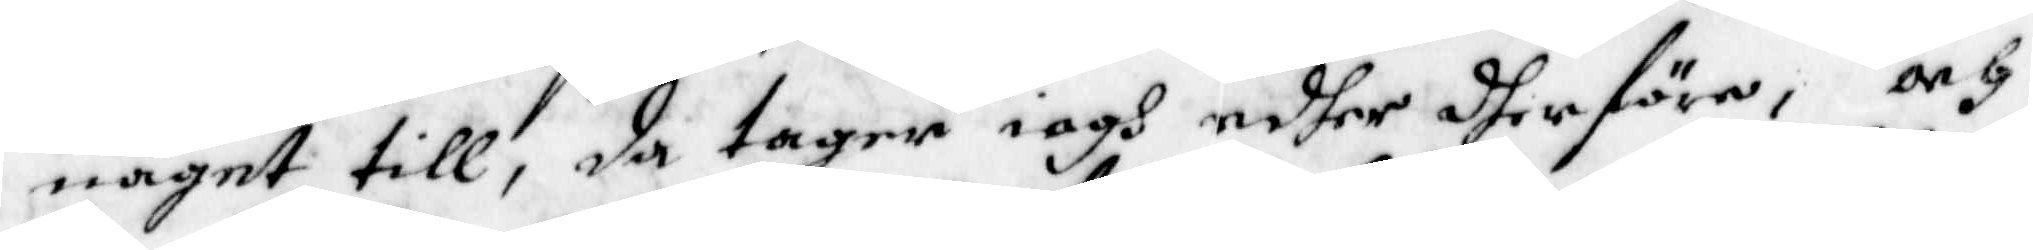något till, da tager iagh edher dherföre, och
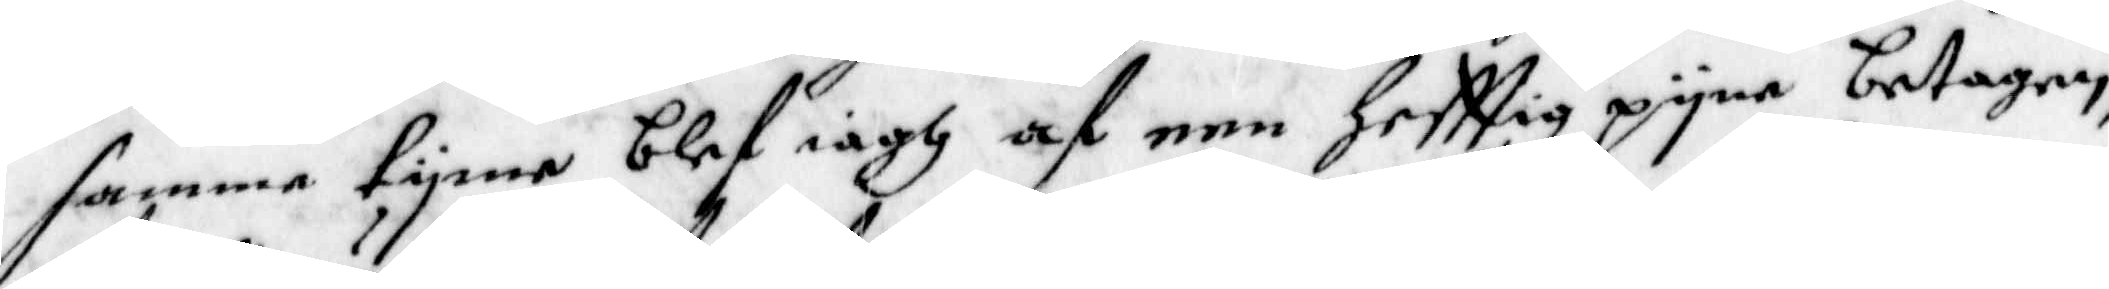samma tyme blef iagh af een Hefttig pyna betagen,
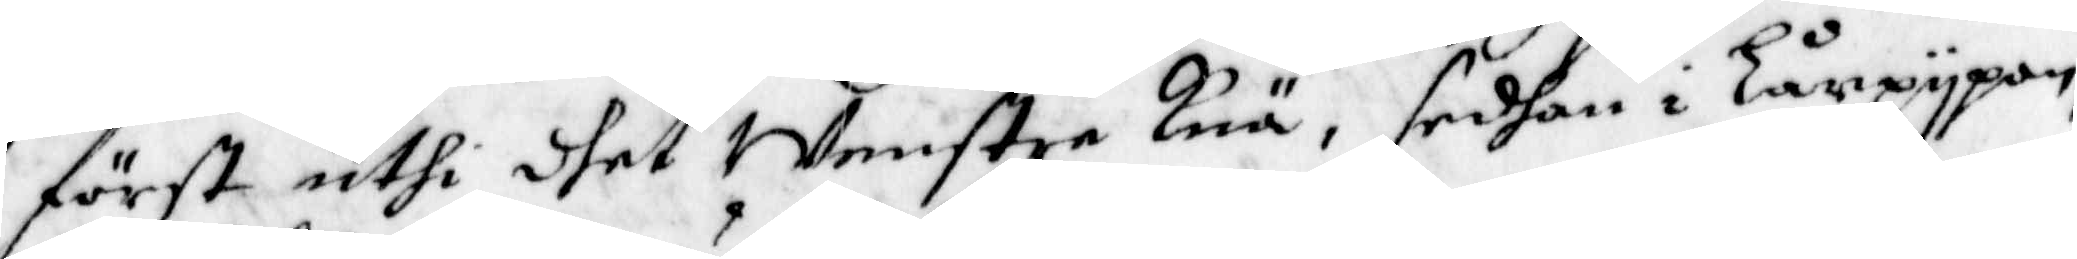först uthi dhet Wenstra knä, sedhan i Lårpypan,
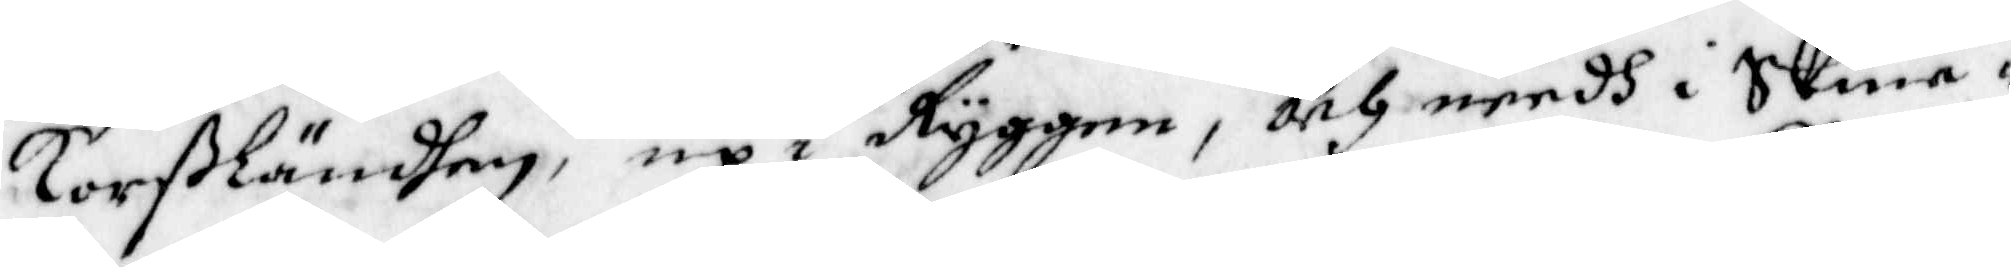Korßländhen, up i Ryggen, och needh i Skine¬
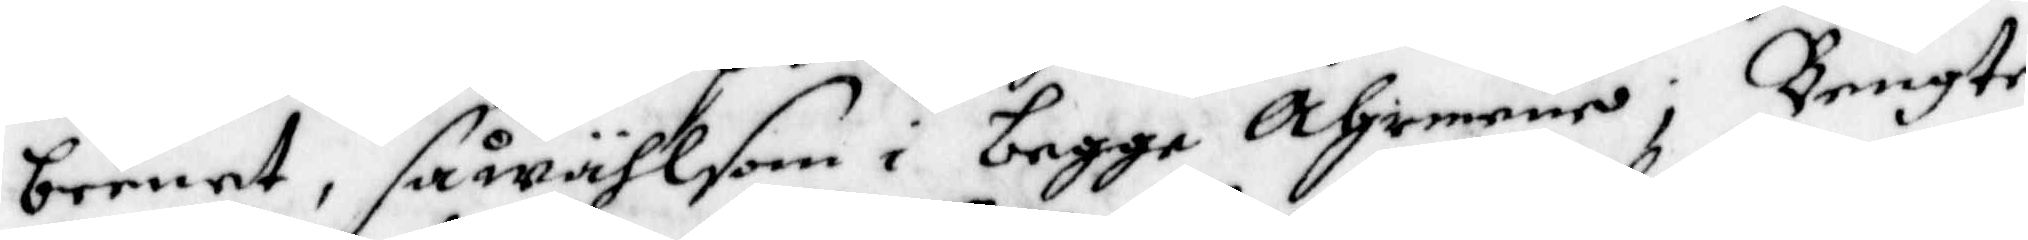beenet, så wähl som i begge Ahrmena; Bengte
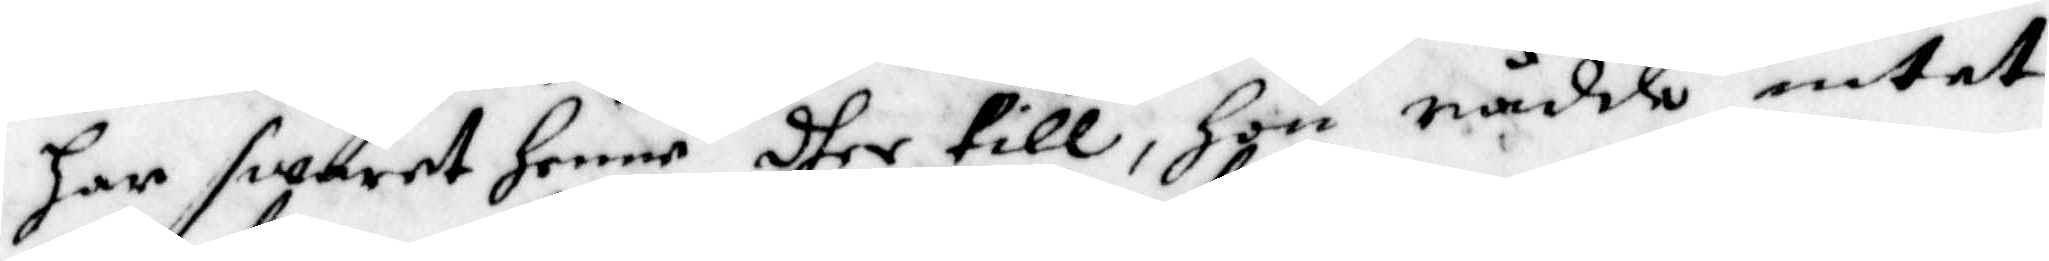har swaret henne dher till, Hon rådde intet
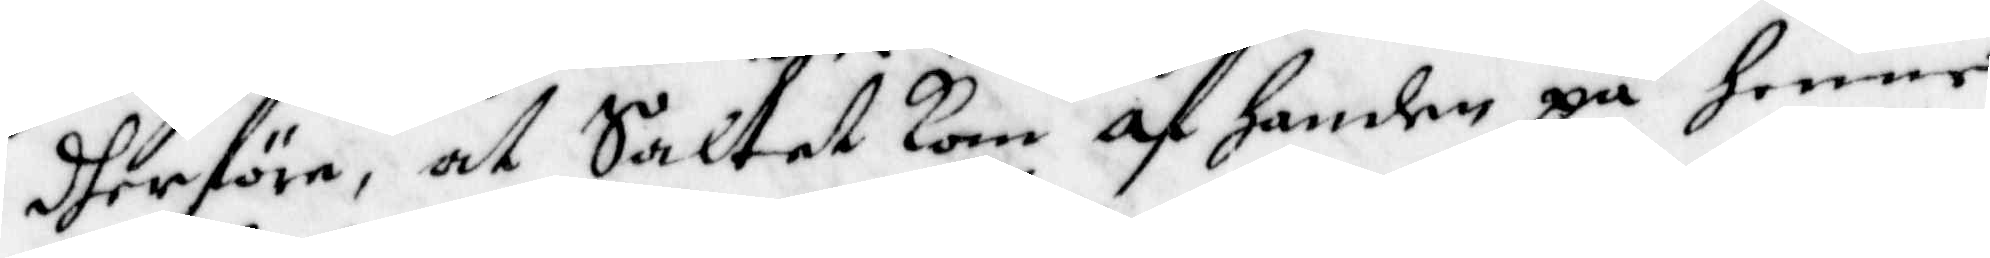dherföre, at Saltet kom af handen på henne
